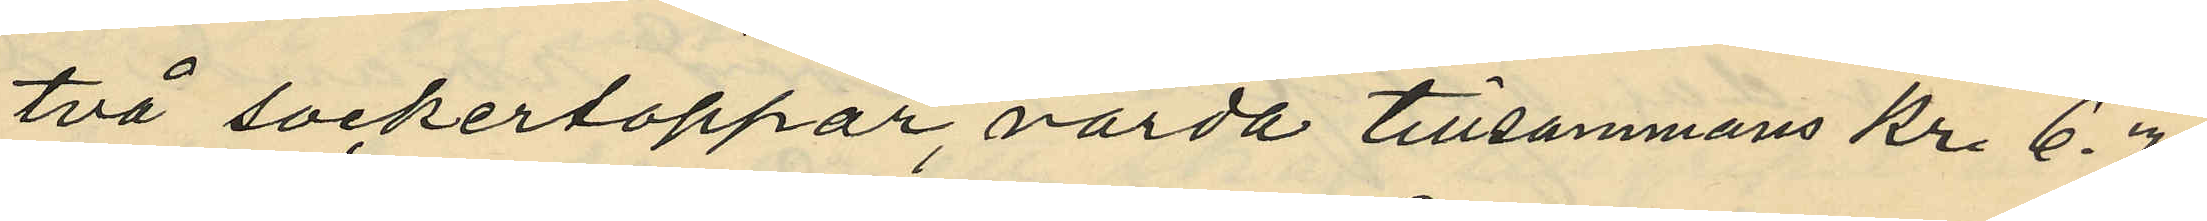två sockertoppar, värda tillsammans Kr. 6.70
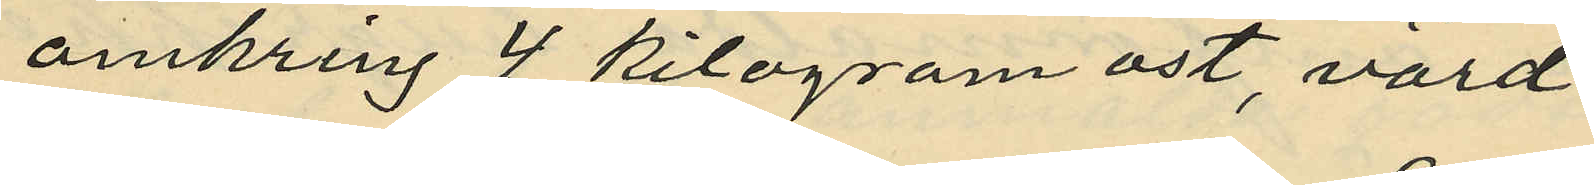omkring 4 kilogram ost, värd
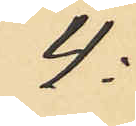4:
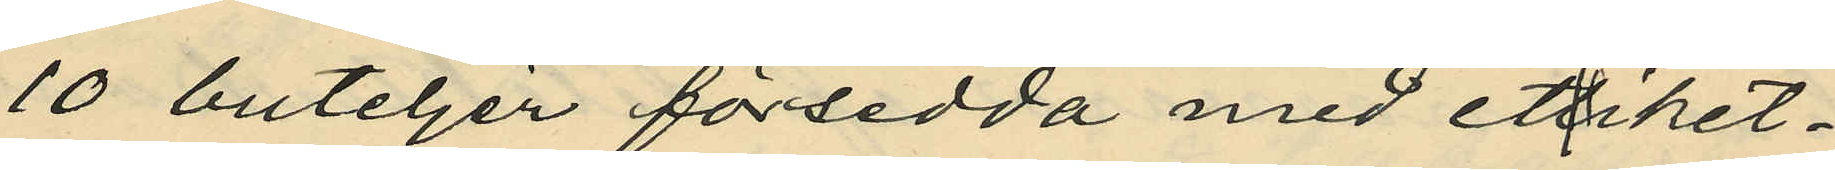10 buteljer försedda med ettiket¬
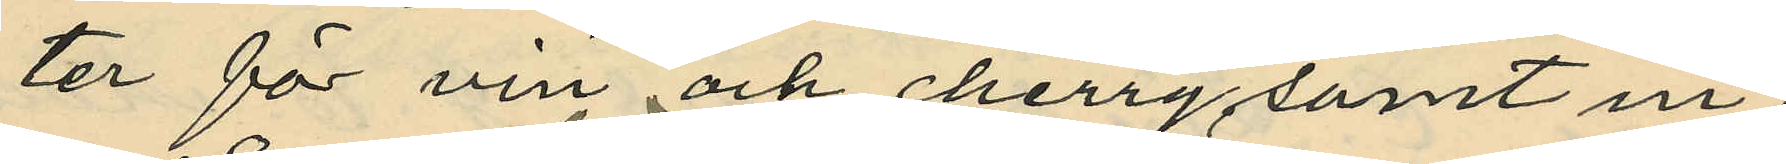ter för vin och cherry samt in¬
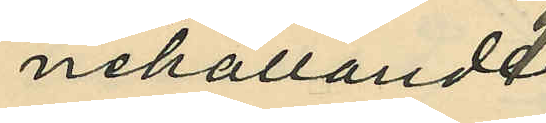nehållande
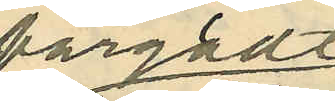färgadt
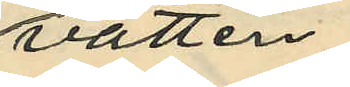vatten
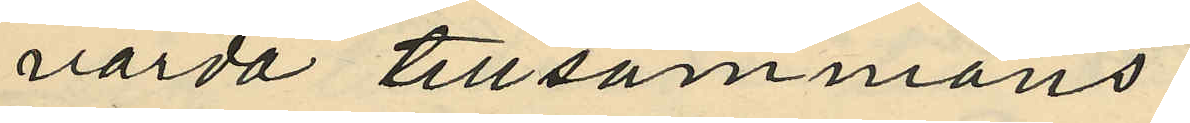värda tillsammans
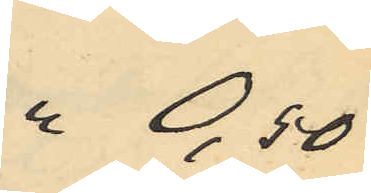 0,50
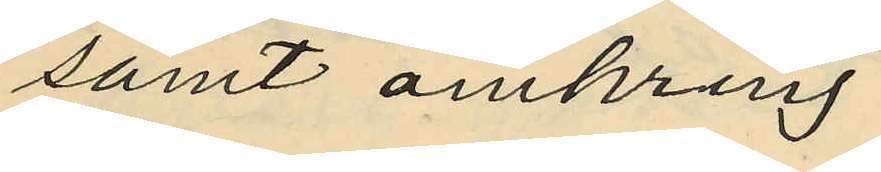samt omkring
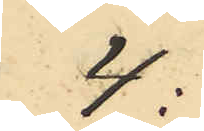4:
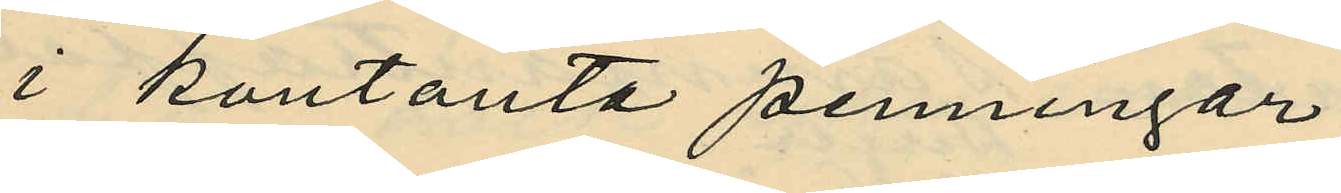i kontanta penningar
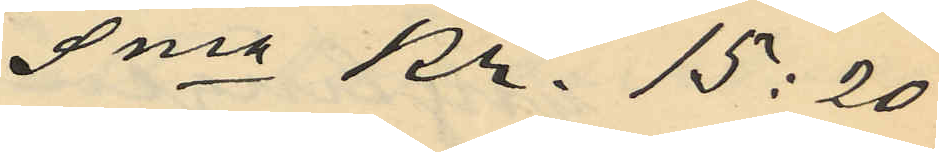Sma Kr. 15:20
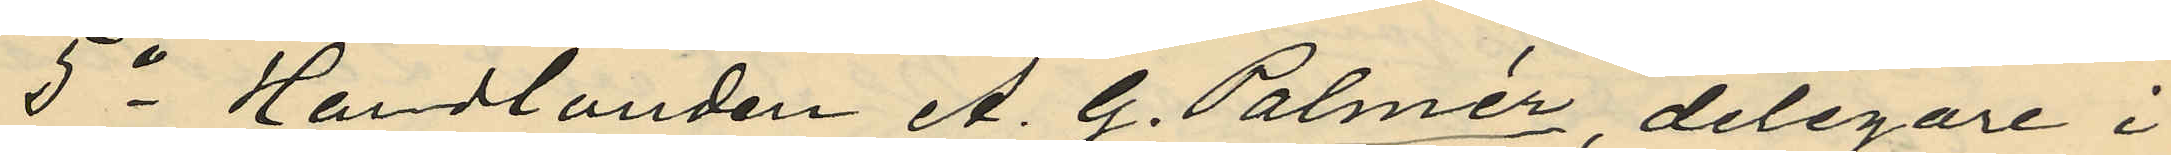5o Handlanden A. G. Palmér, delegare i
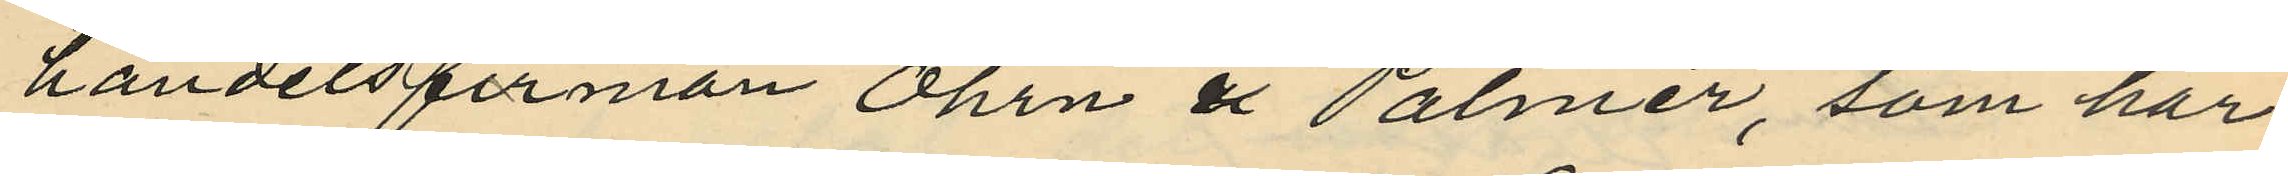handelsfirman Öhrn & Palmér, som har
